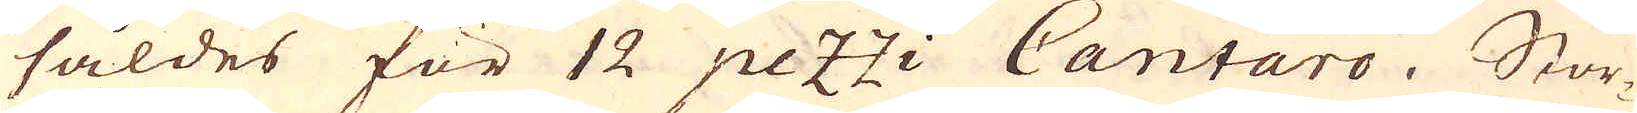såldes för 12 pez:zi Cantaro. Stor-
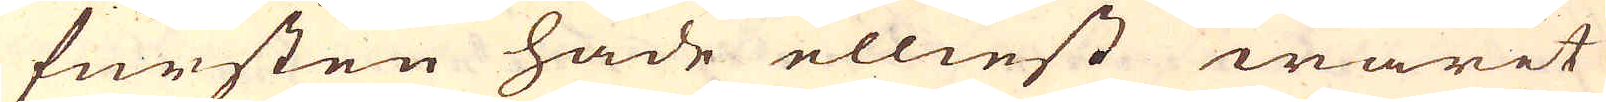fursten hade elliest warit
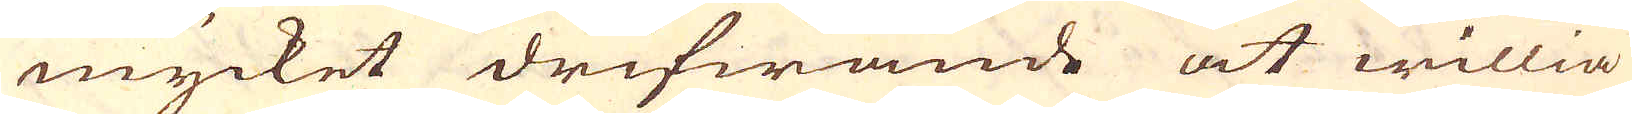mycket drifwande at willia
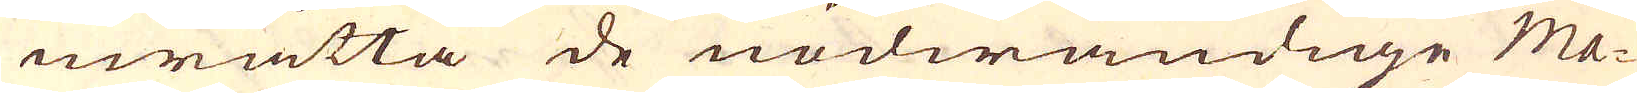inrätta de nödwändige ma-
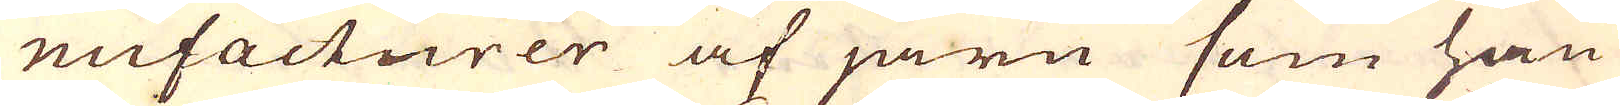nufacturer af järn som han
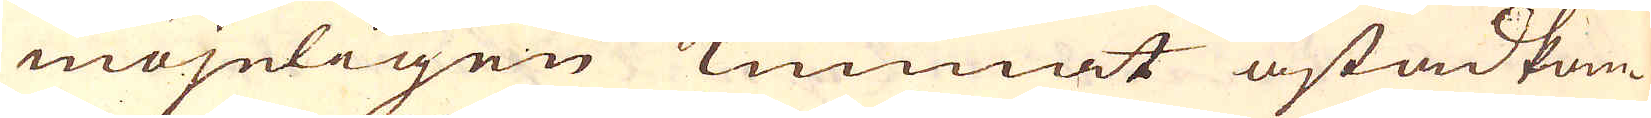möjeligen kunnat åstadkom-
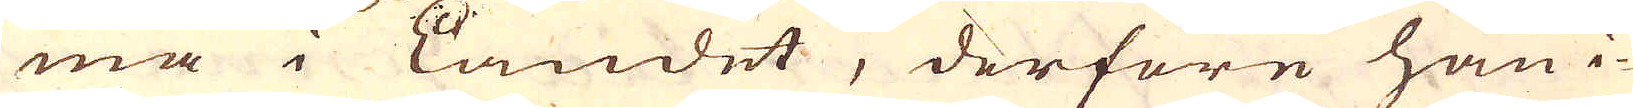ma i Landet, derföre han i-
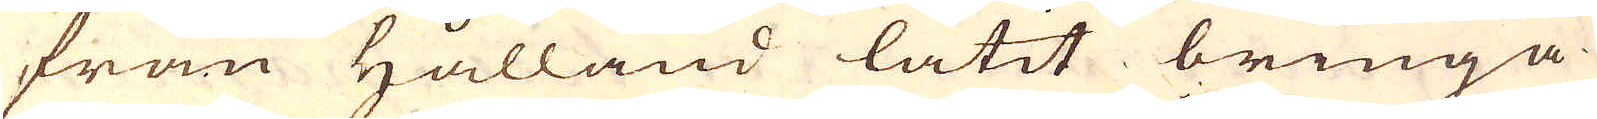från Hålland låtit bringa
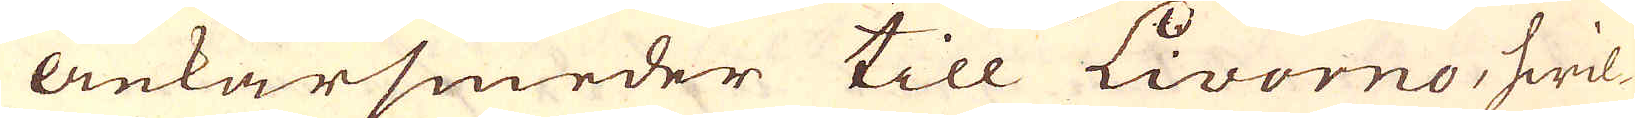Ankarsmeder till Livorno, hwil-
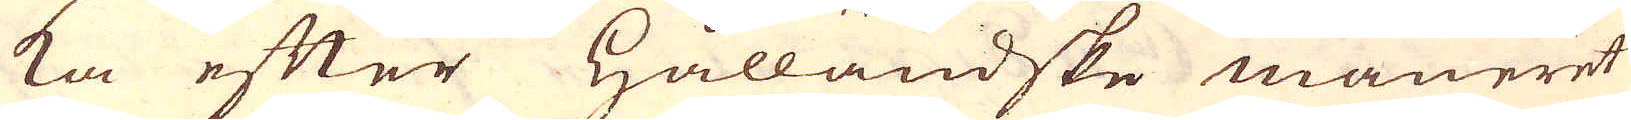ka efter Hållandske maneret
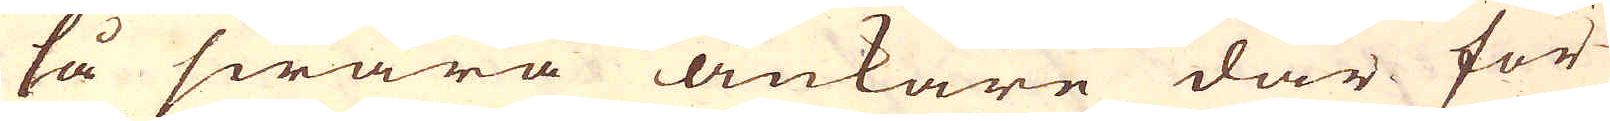så swåra ankare där för-
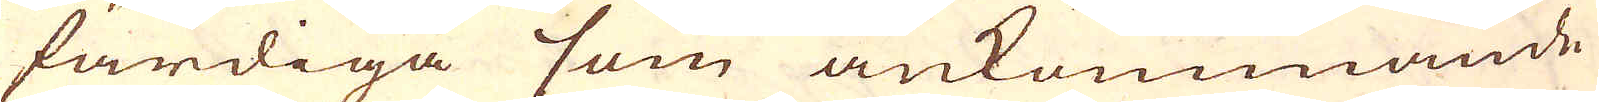färdiga som ankommande
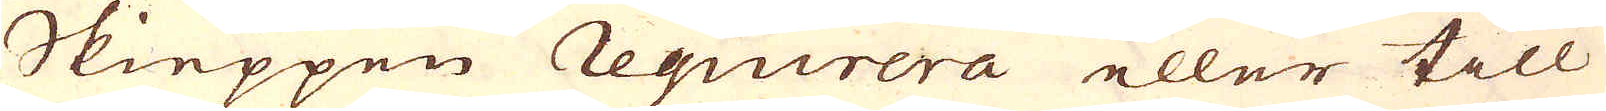Skieppen Requirera eller till
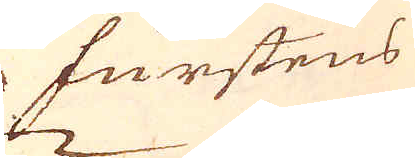furstens
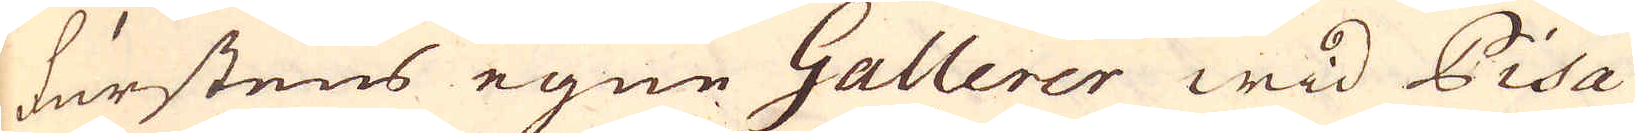furstens egne Gallerer wid Pisa
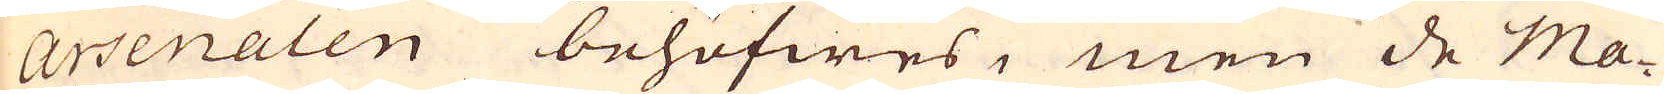Arsenalen behöfwes, men de ma-
